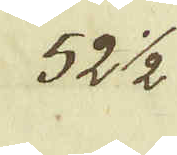52 1/2
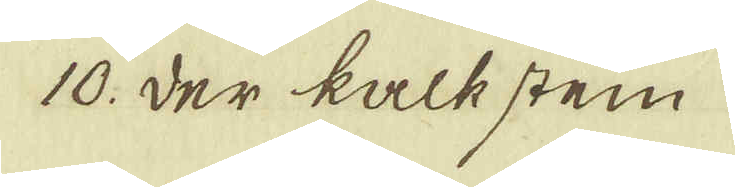10. Der kalkstein
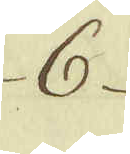6
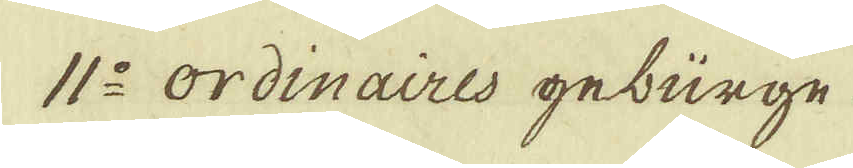11:o ordinaires geburge
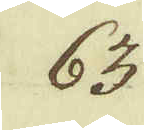63
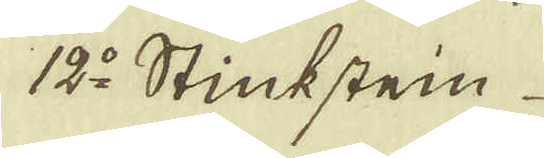12:o Stinkstein
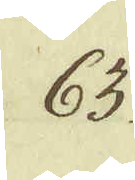63
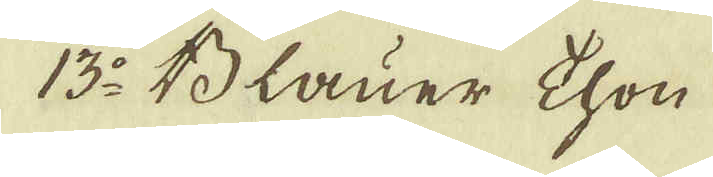13:o Blauer thon
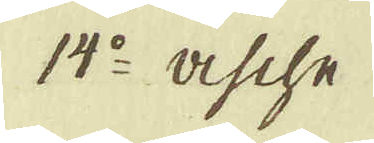14:o asche
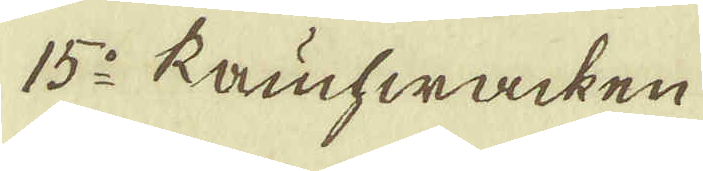15:o Kahwäcken
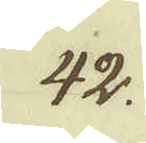42.
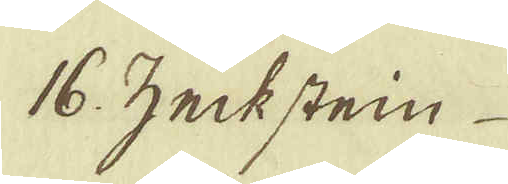16. zeckstein
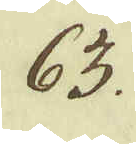63.
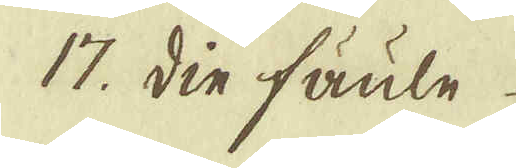17. din fäule
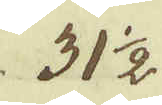31 1/2
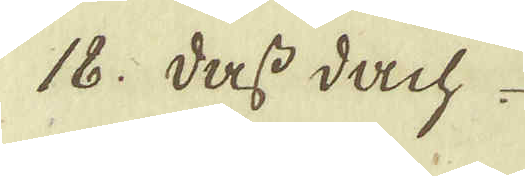18. dass dach
